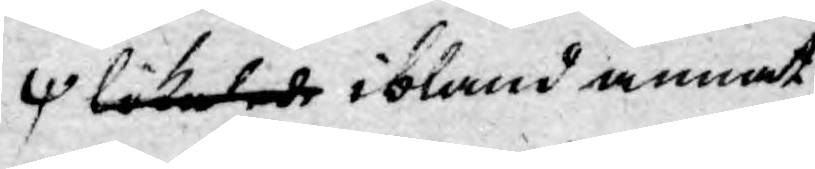likalede ibland annat
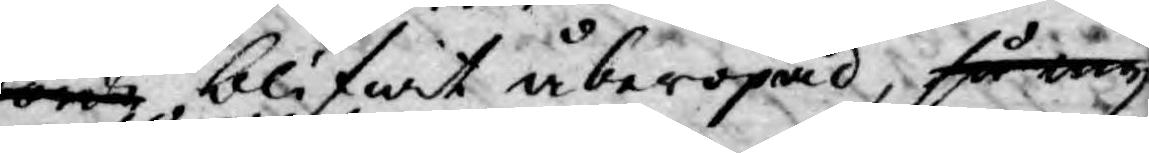borde blifwit åberopad, så my¬
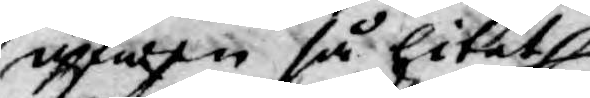äfwen så litet
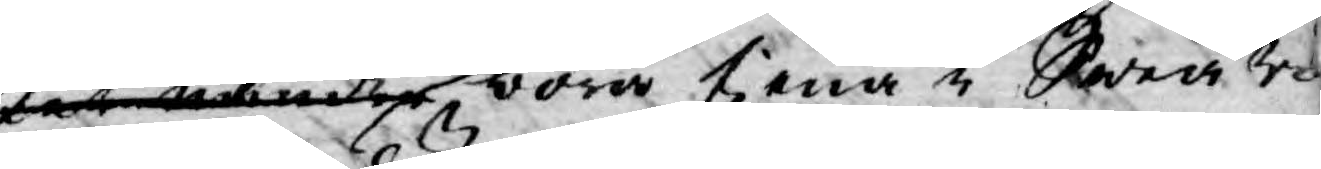ket mensker böra tiena i Sweari
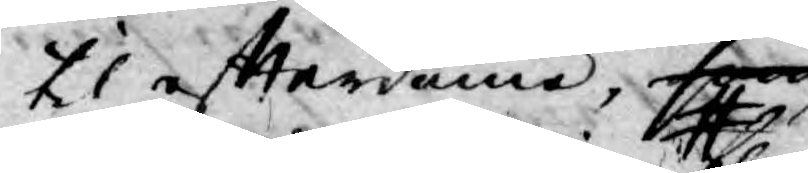til effterdöme, som
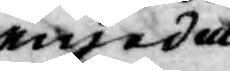emedan
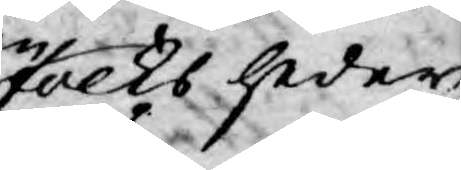folks heder
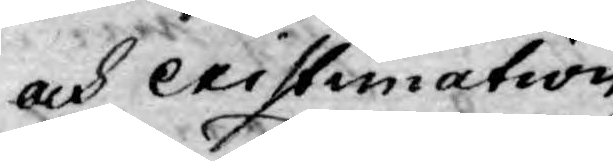och existimation
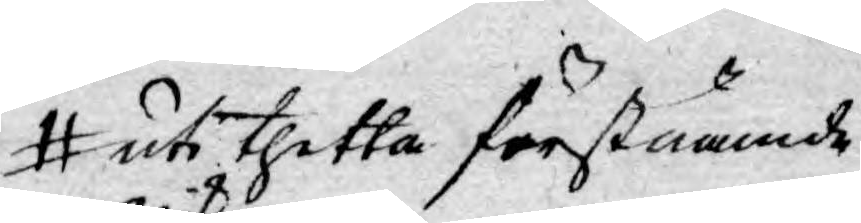uti thetta förstnämnde
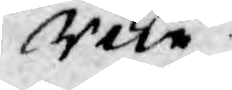rike
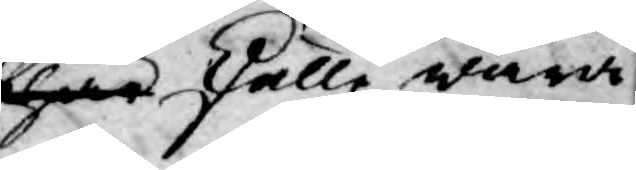här skulle wara
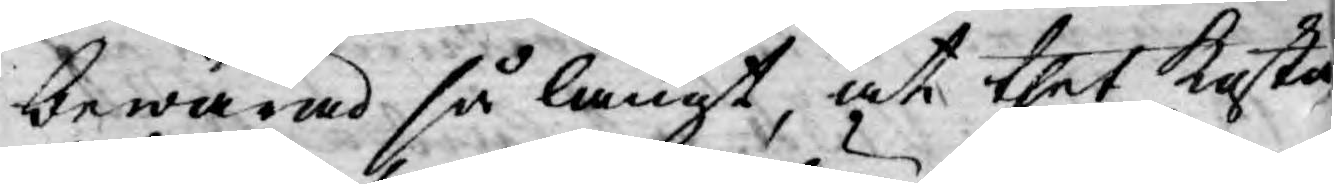bewarad så långt, at thet Kasta
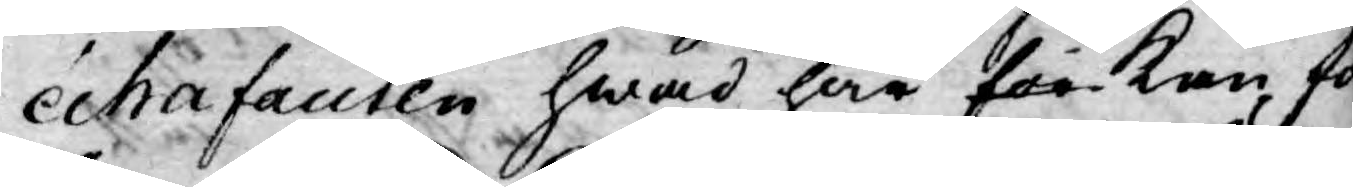echafauten hwad här för kan fö¬
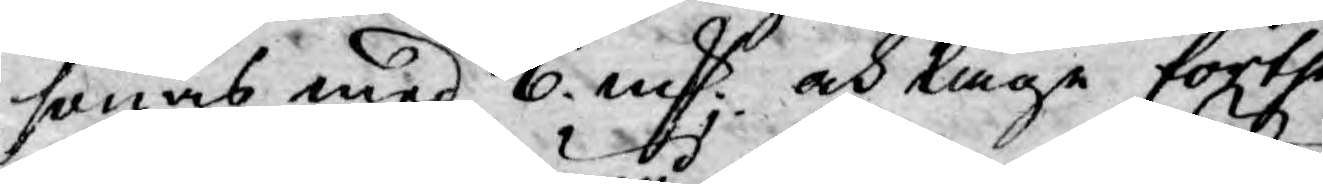sonas med 6. mk och låge förthen
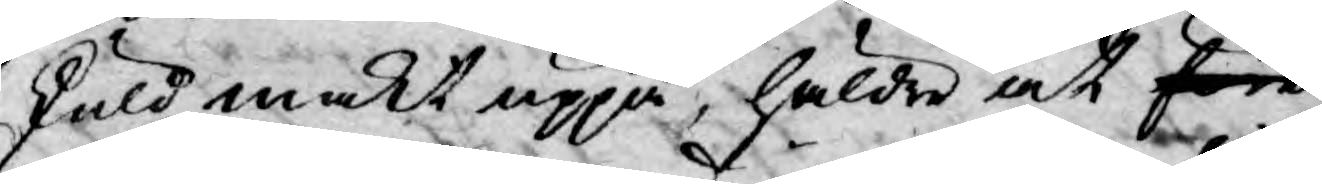skuld makt uppå, häldre at före
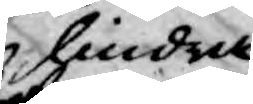hindra
